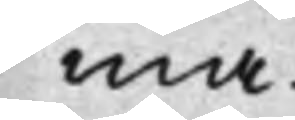ma.
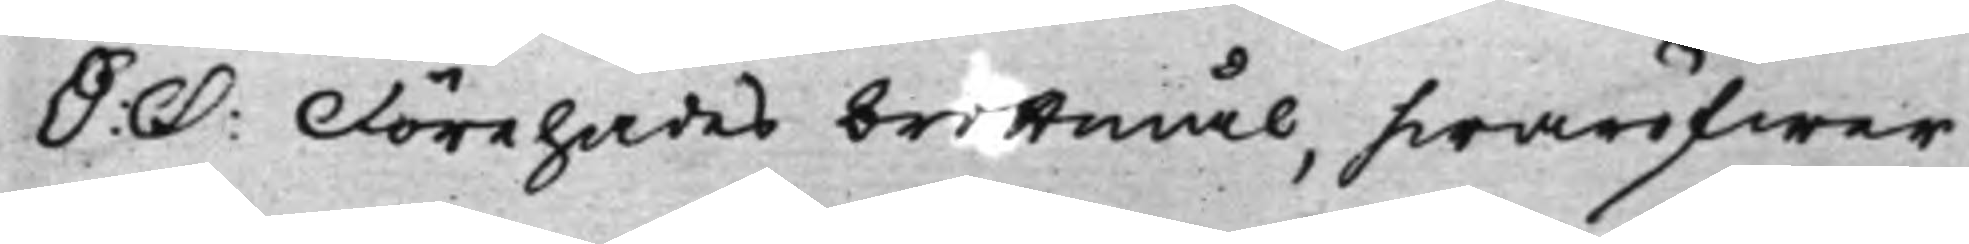S: D: Förehades brottmål, hwaröfwer
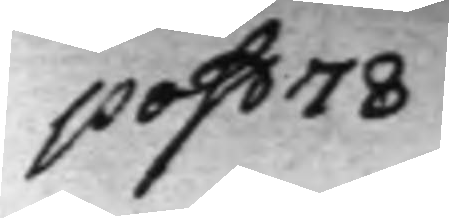post 78
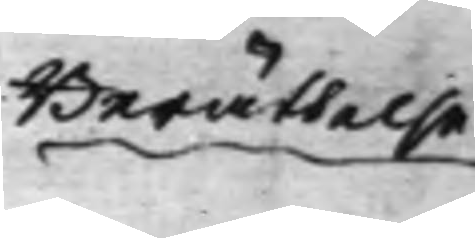Berättelse
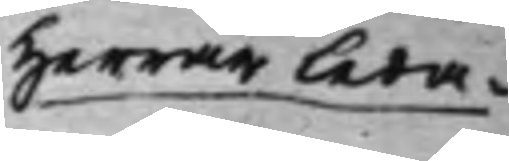Herrar Leda¬
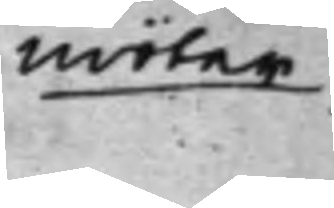möter
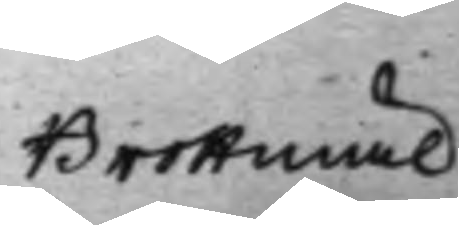Brottmål
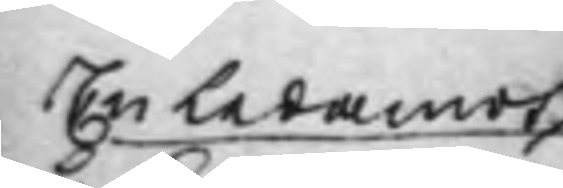En Ledamot
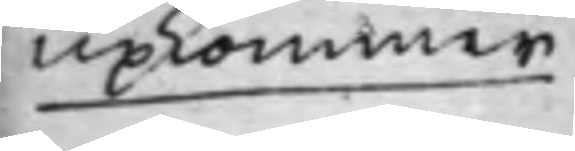upkommer.
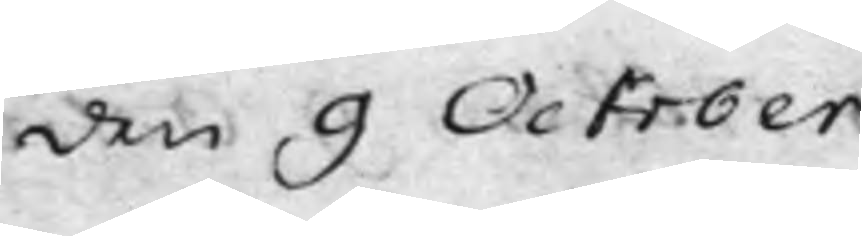den 9 October.
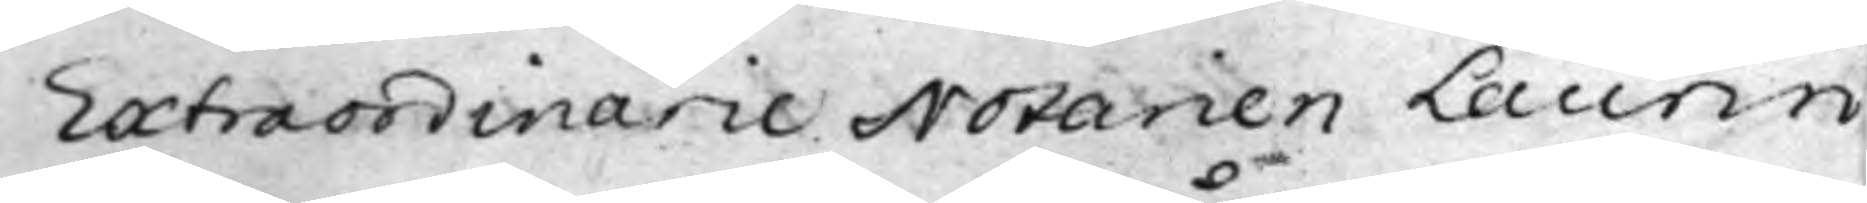Extraordinarie Notarien Laurin
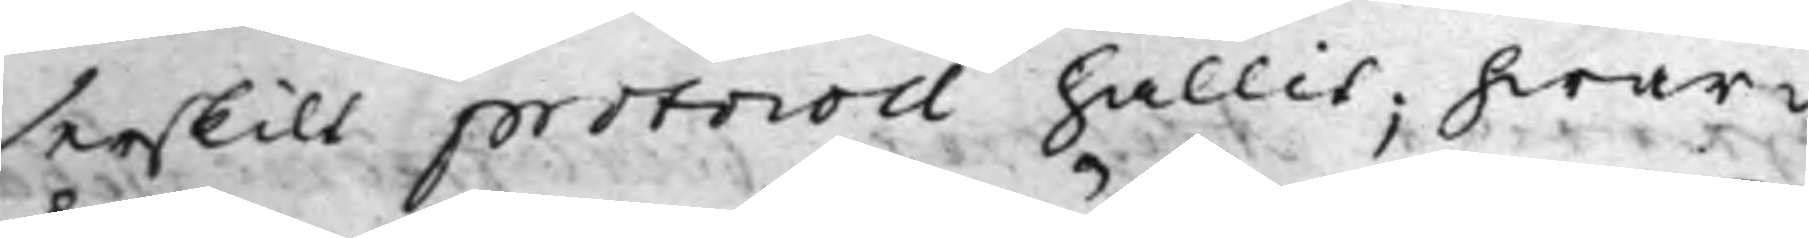serskilt protocoll hållit; hwar¬
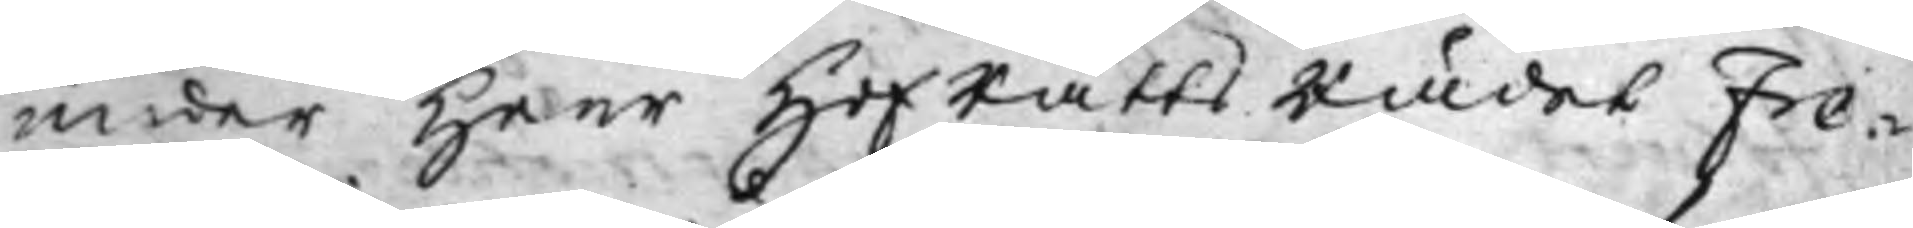under Herr HofRättsRådet Fre¬
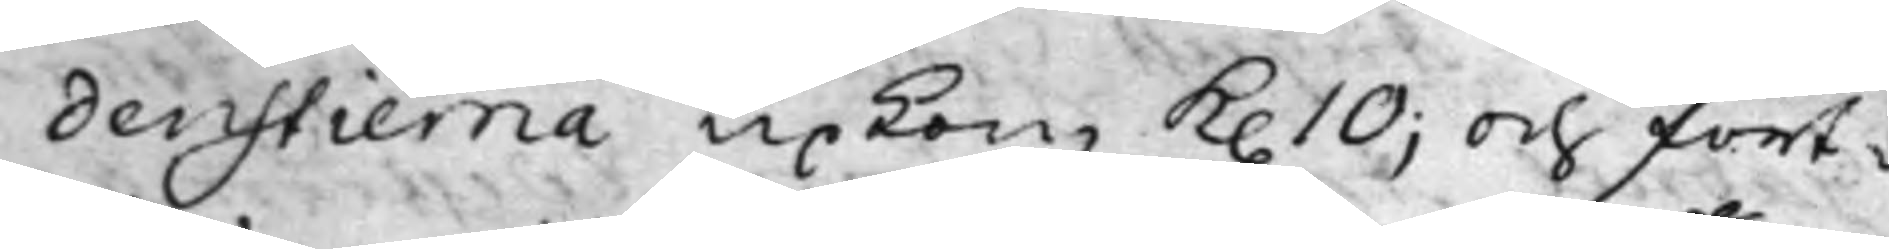denstierna upkom K. 10; och fort¬
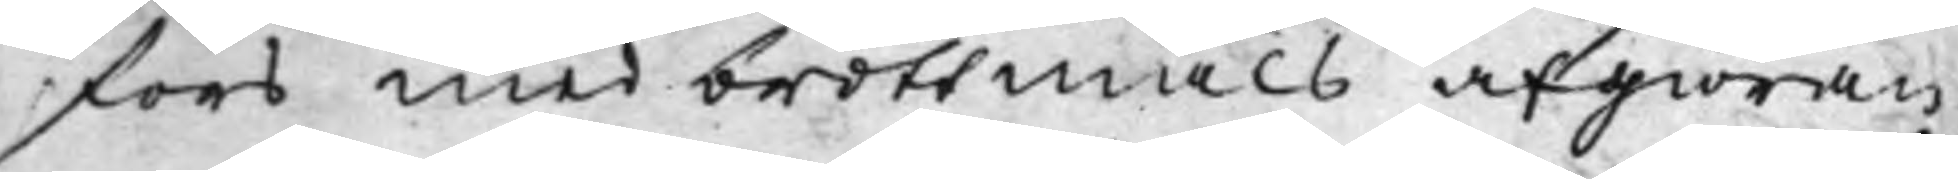fors med brottmåls afgiöran¬
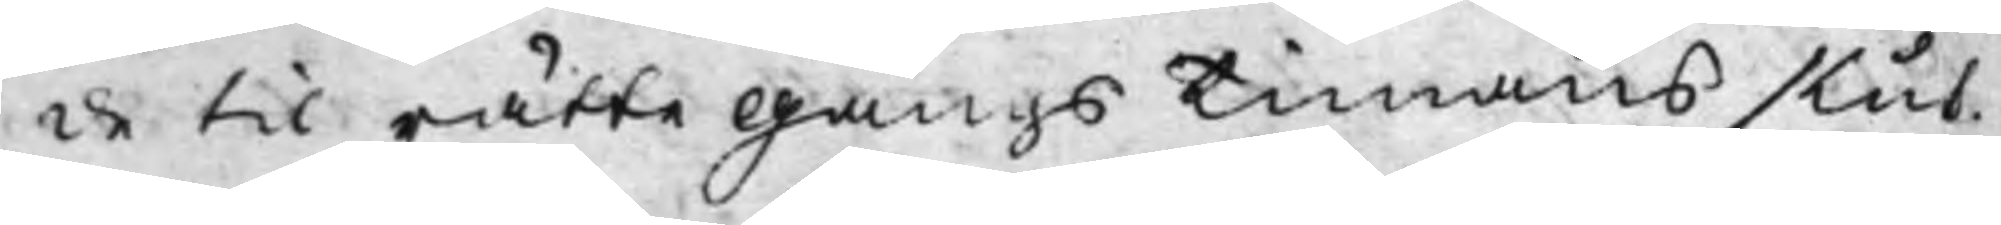de til rättegångs Timans slut.
